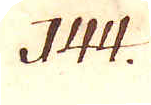144.
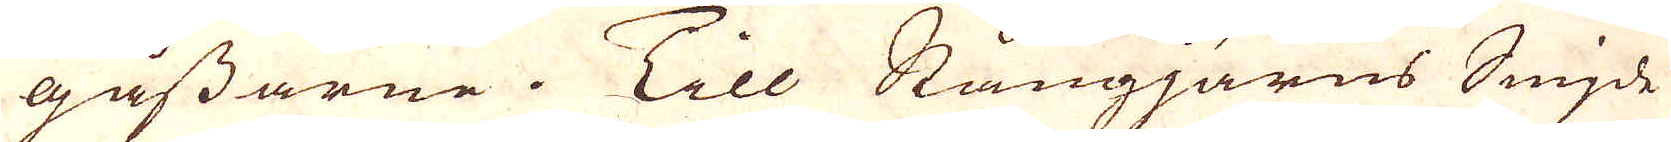gåssarne. Till Stångjärns Smide
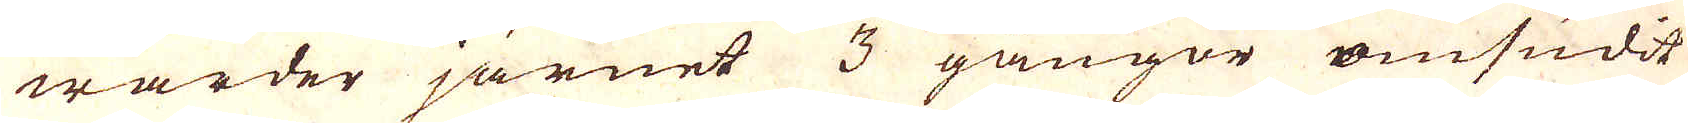warder järnet 3 gångor omsudit
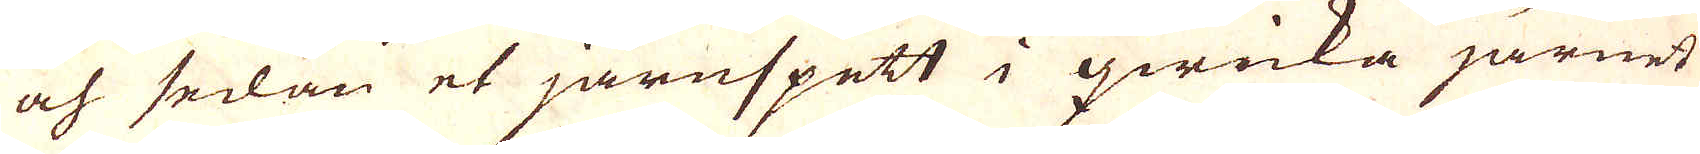och sedan et järnspett i qwicka järnet
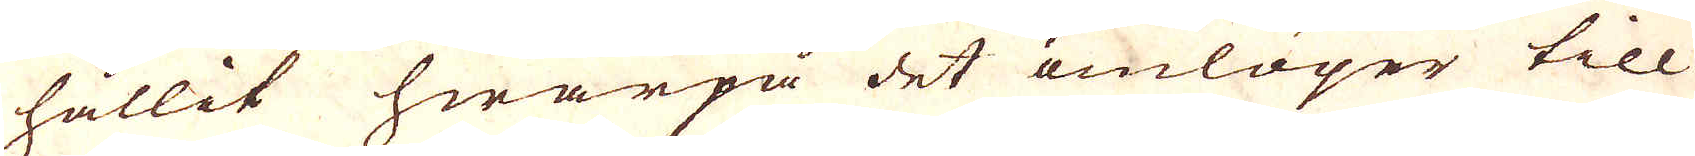hållit hwarpå det omlöper till
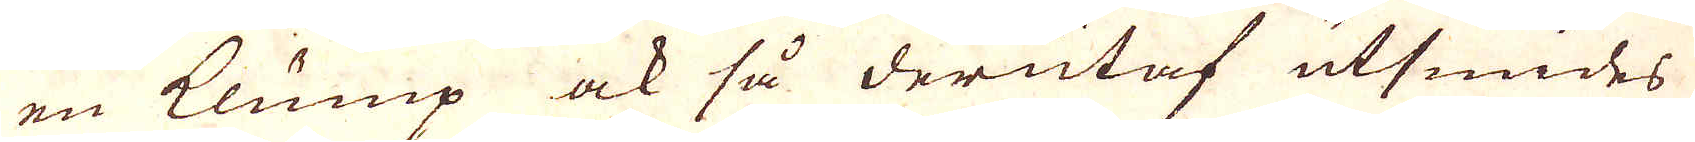en Klump ock så derutaf utsmides
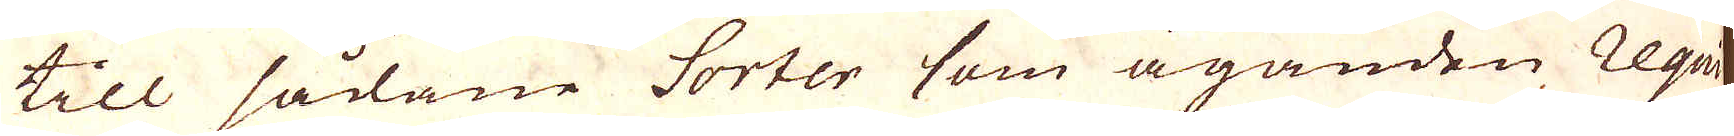till sådane Sorter som äganden Regu-
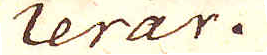lerar.
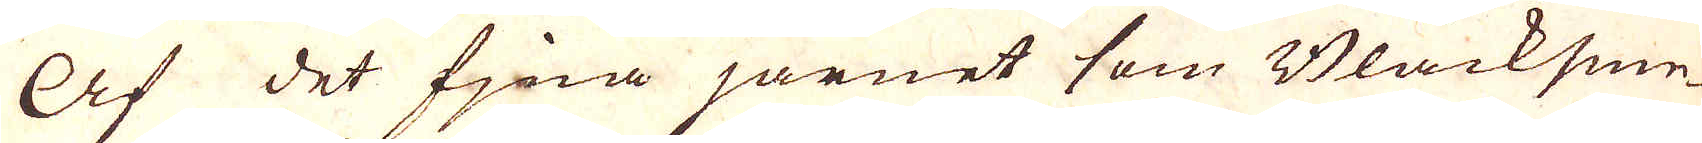Af det fina järnet som Bläcksme-
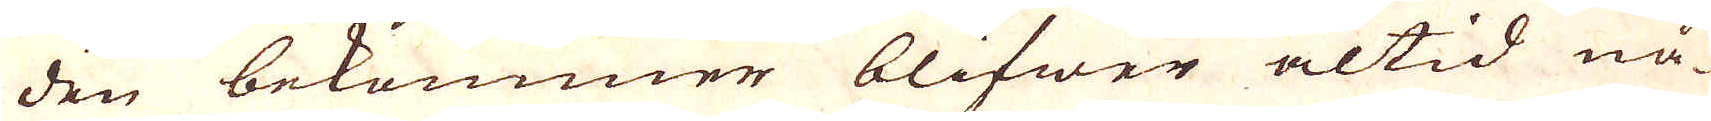den bekommer blifwer altid nå-
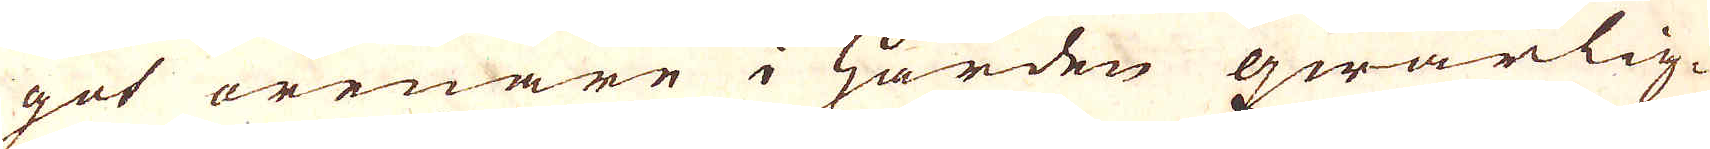got orenare i Härden qwarlig-
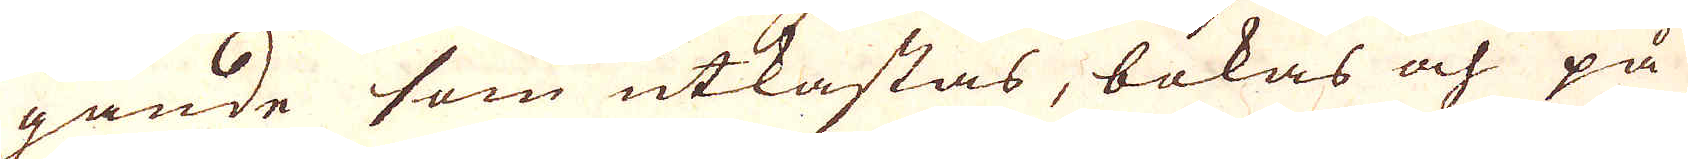gande som utkastas, bokas och på
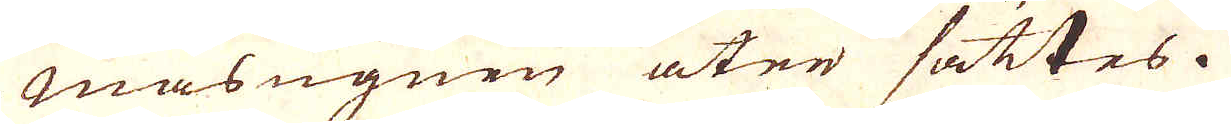Masugnen åter sättes.
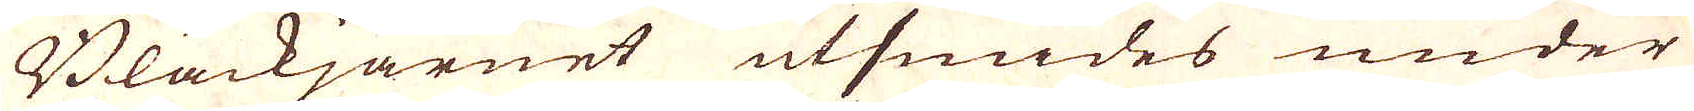Bläckjärnet utsmides under
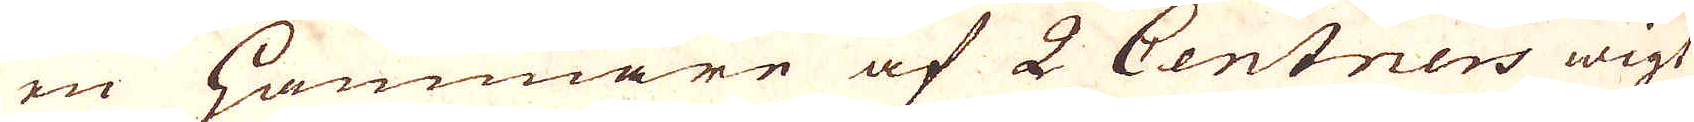en Hammare af 2 Centners wigt
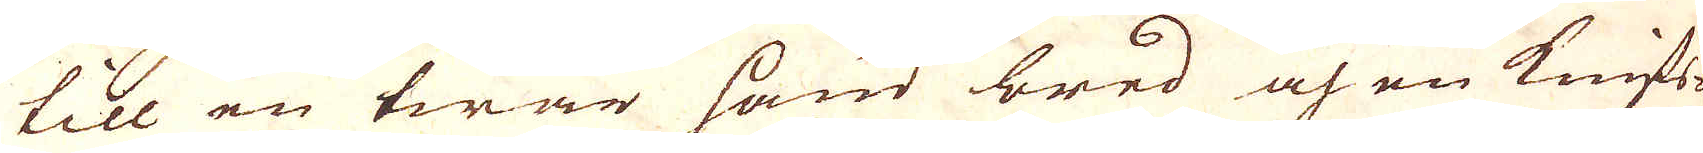till en twär hand bred och en knifs-
